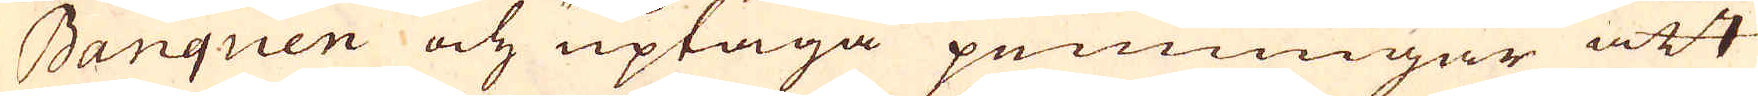Banquen och uptaga penningar att
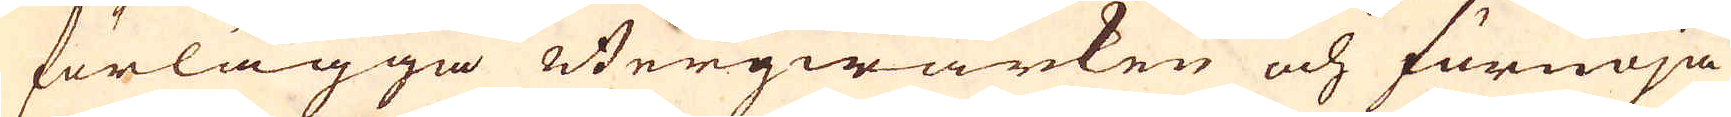förlägga Bergwärken och förnöja
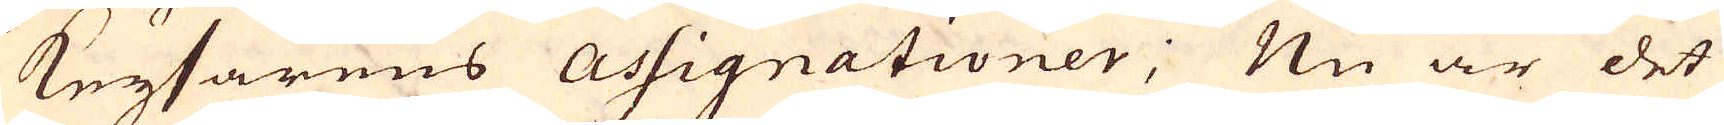Keysarens Assignationer; Nu är det
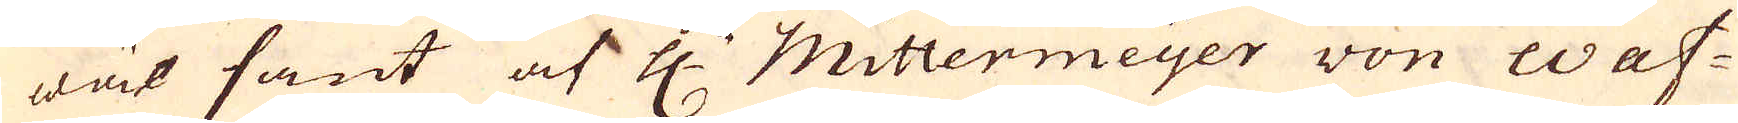wäl sant af H:r Mittermeyer von Was-
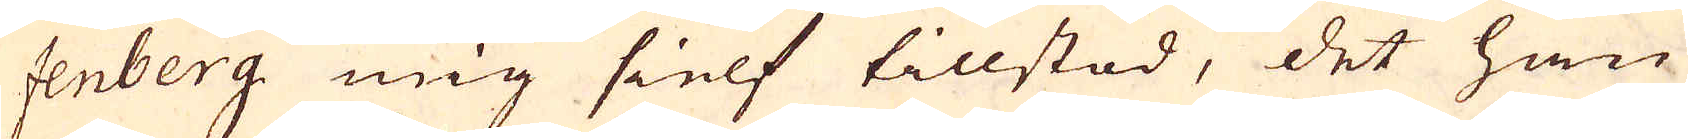senberg mig sielf tillstod, det han
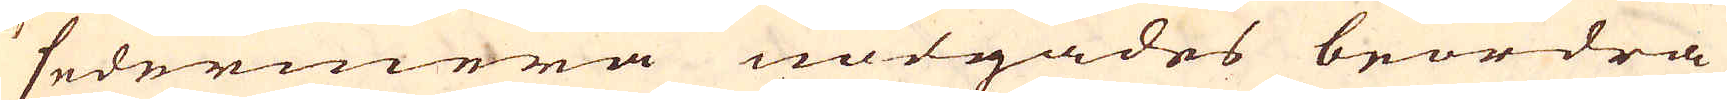sedermera nödgades beordra
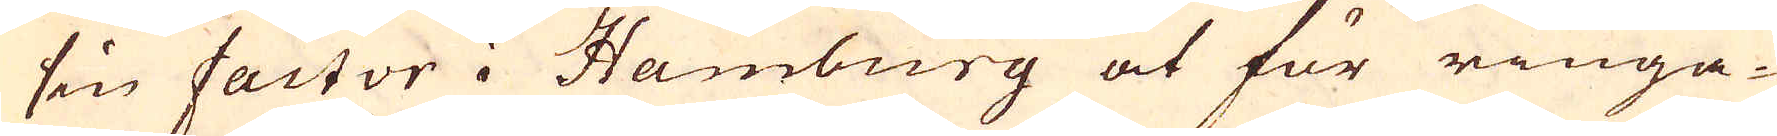sin factor i Hamburg at för ringa-
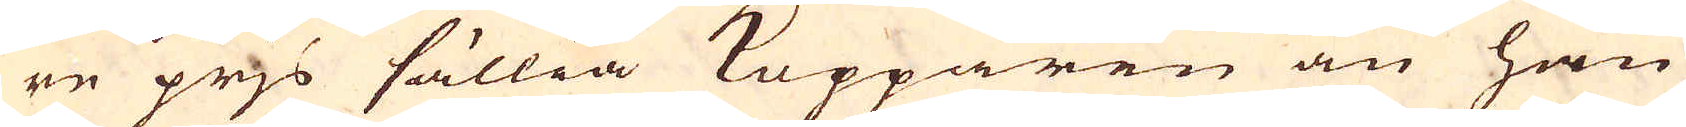re prjs sällia Kopparen än han
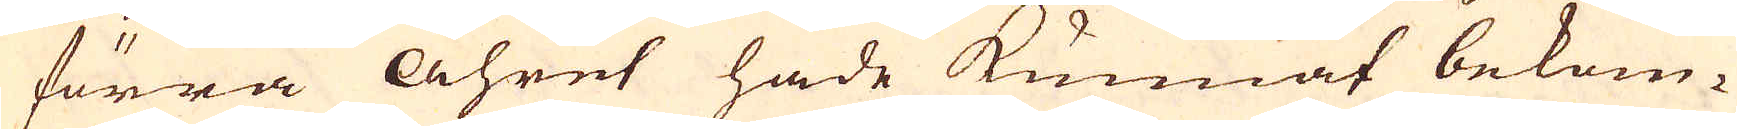förra Åhret hade kunnat bekom-
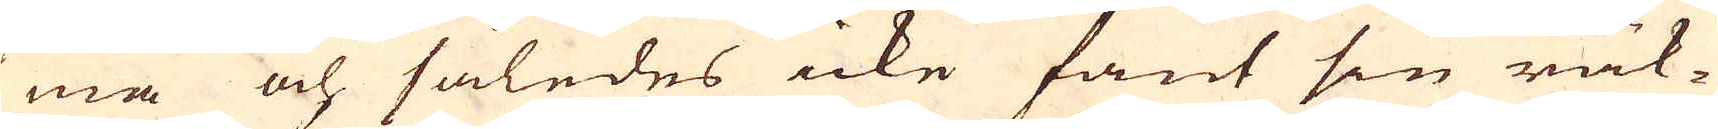ma och således icke fant sin räk-
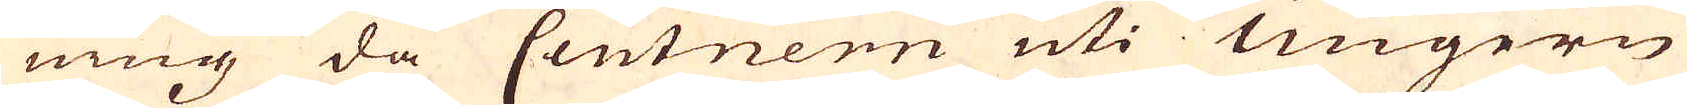ning då Centnern uti Ungern
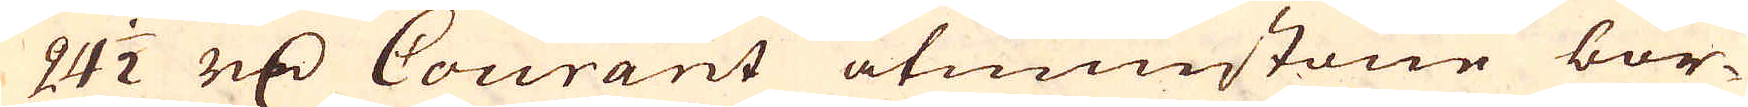24 1/2 r:dr Courant åtminstone bor-
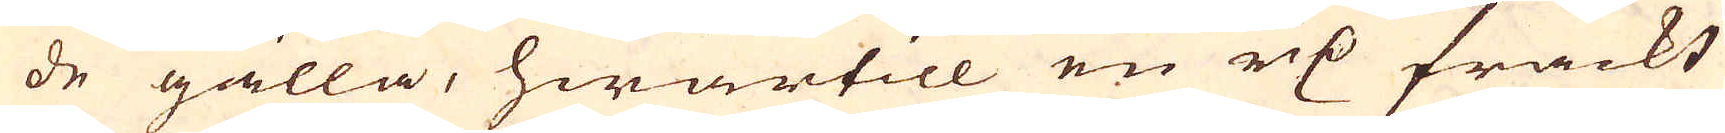de gälla, hwartill en r:dr frackt
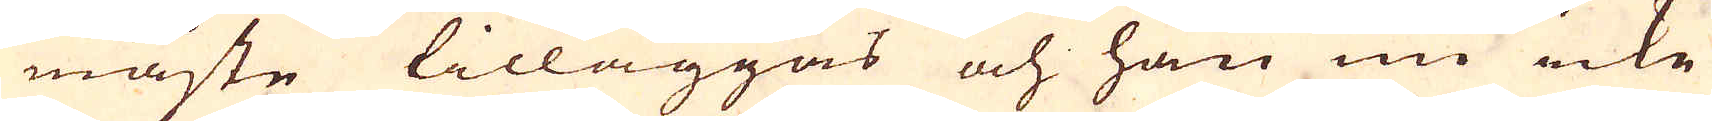måste tilläggas och han nu icke
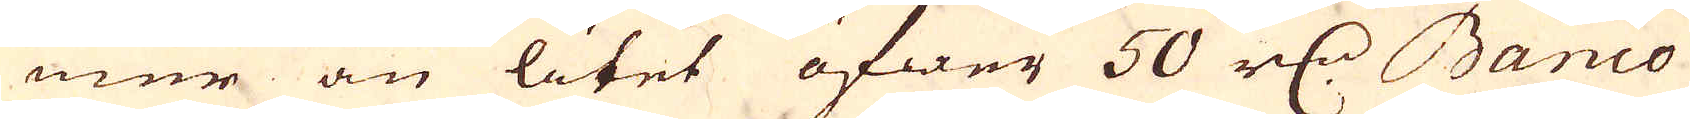mer än litet öfwer 50 r:dr Banco
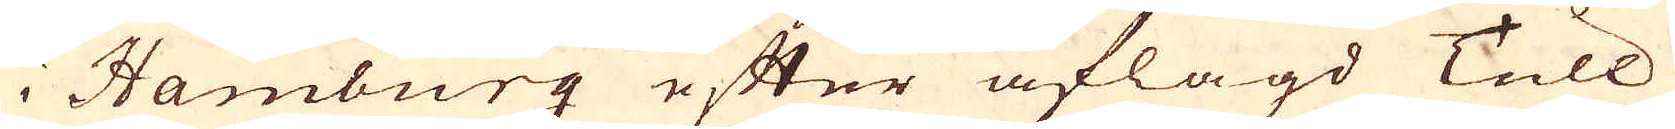i Hamburg efter aflagd Tull
